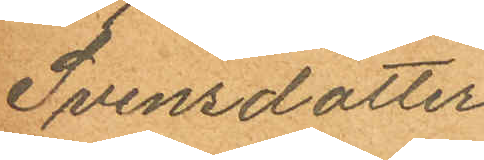Svensdotter
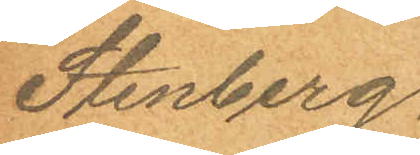Stenberg.
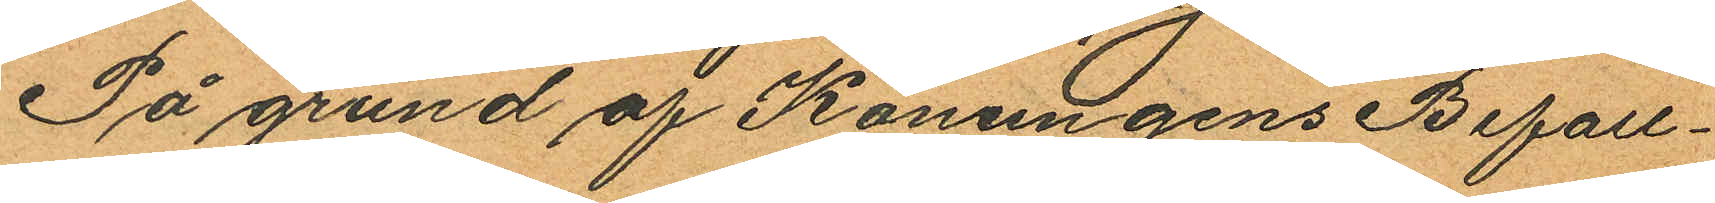På grund af Konungens Befall¬
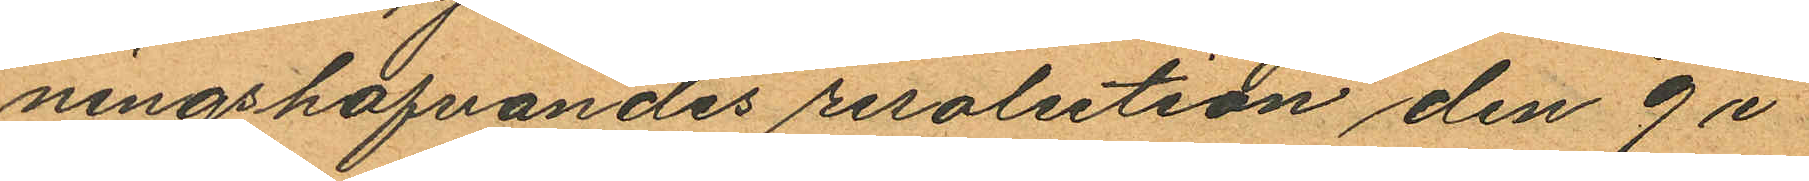ningshafvandes resolution den 9 i
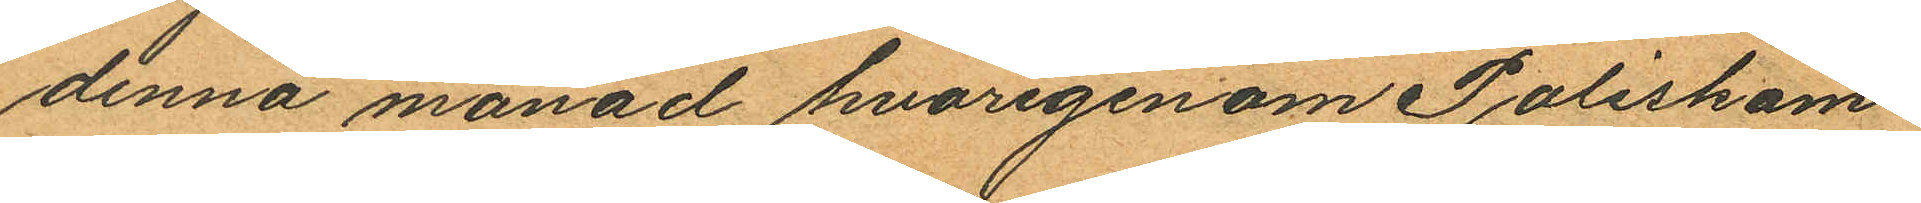denna månad hvarigenom Poliskam¬
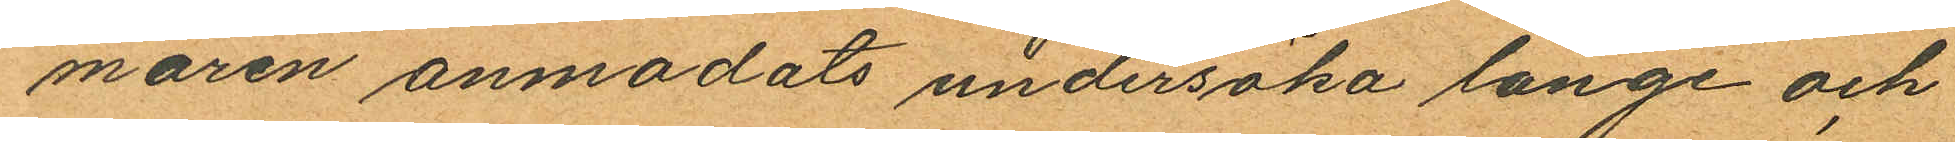maren anmodats undersöka länge och
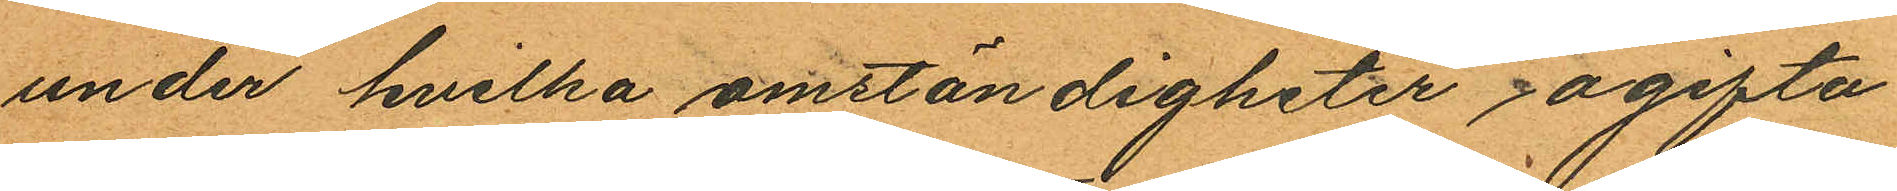under hvilka omständigheter ogifta
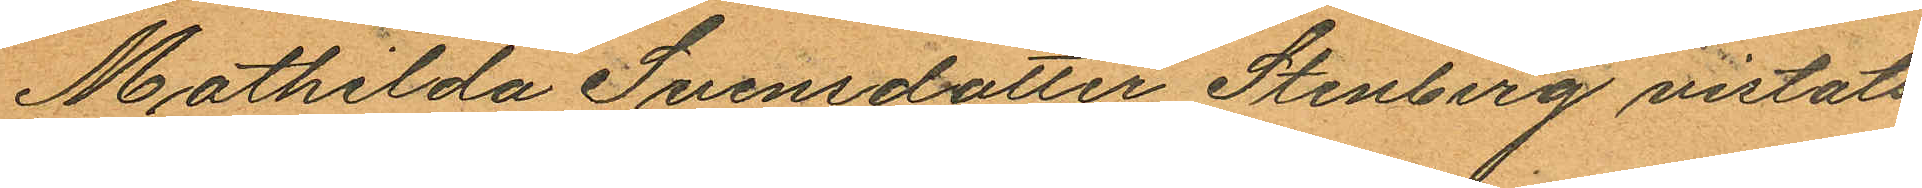Mathilda Svensdotter Stenberg vistats
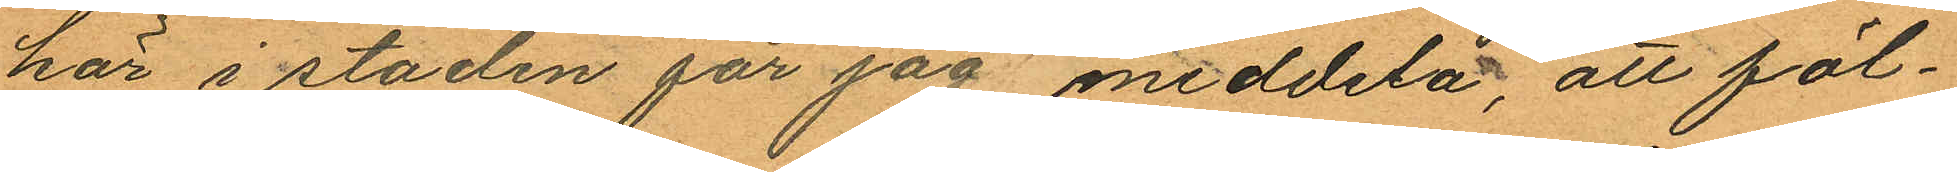här i staden får jag meddela, att föl¬
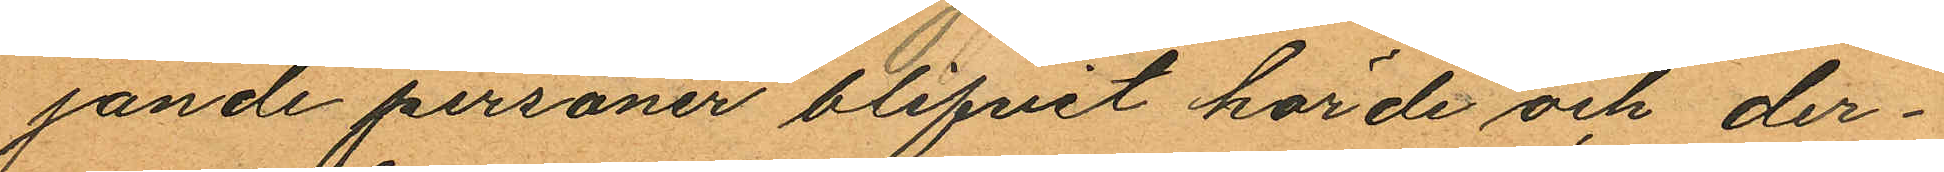jande personer blifvit hörde och der¬
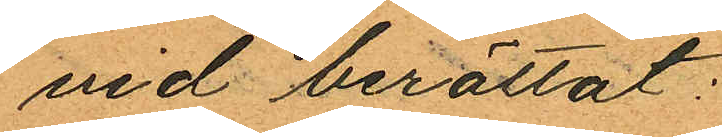vid berättat:
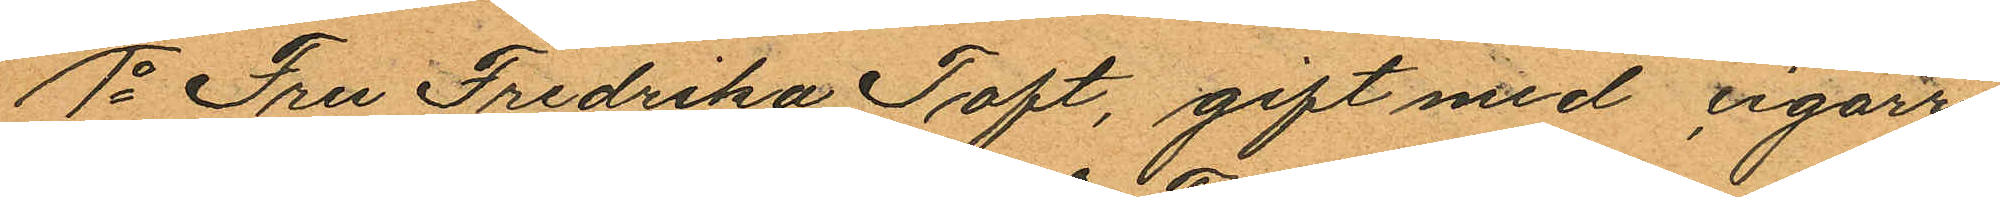1o Fru Fredrika Toft, gift med cigarr¬
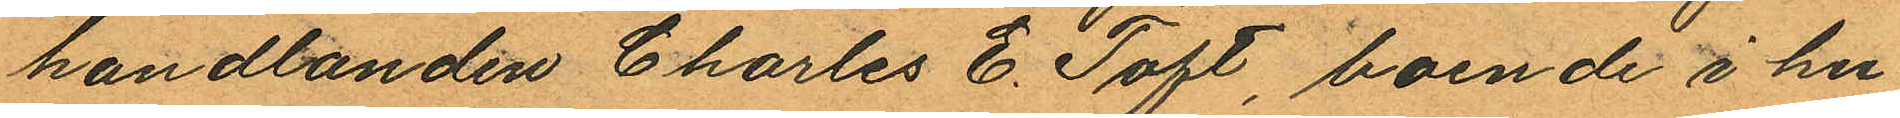handlanden Charles E. Toft, boende i hu¬
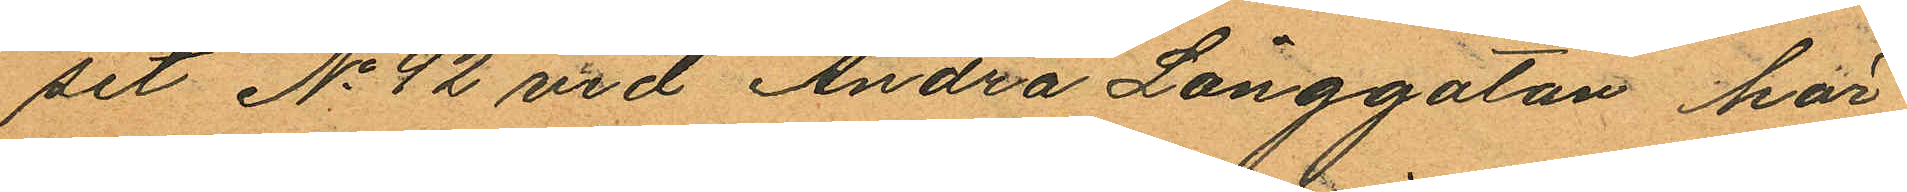set No 42 vid Andra Långgatan här
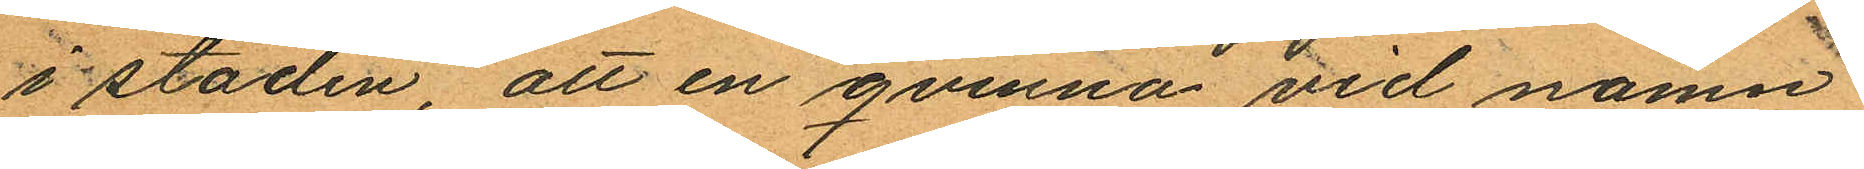i staden, att en qvinna vid namn
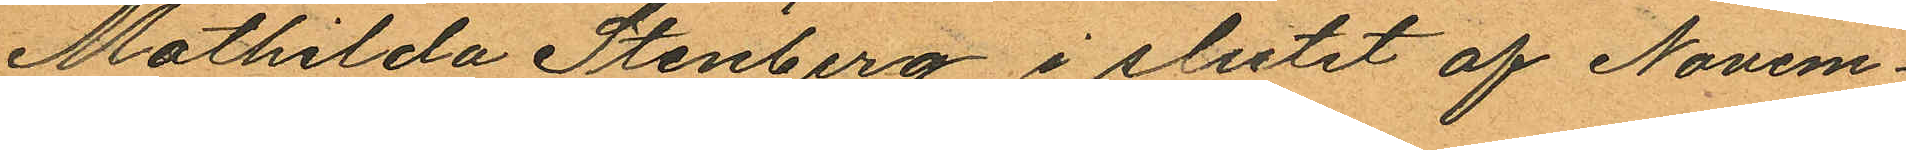Mathilda Stenberg i slutet af Novem¬
